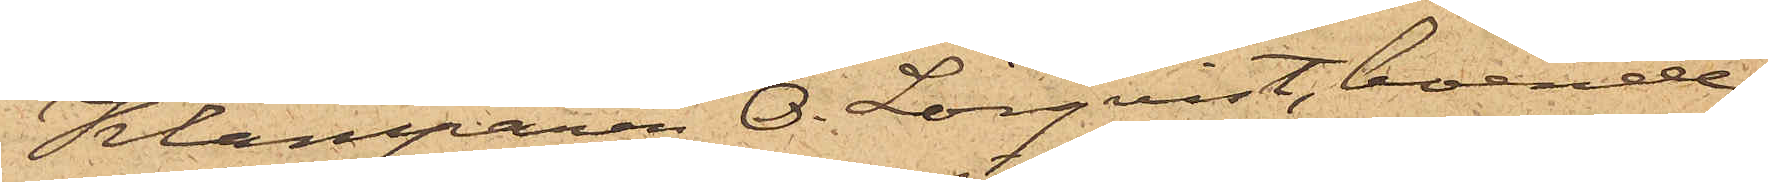Klamparen O. Lövqvist, boende
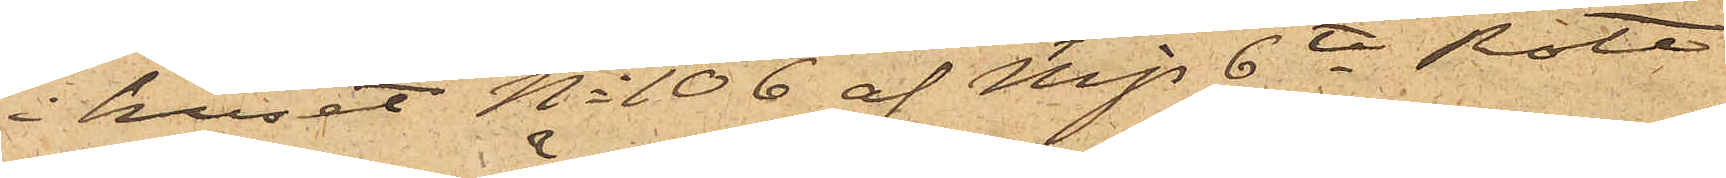i huset No 106 af Mjs 6te Rote
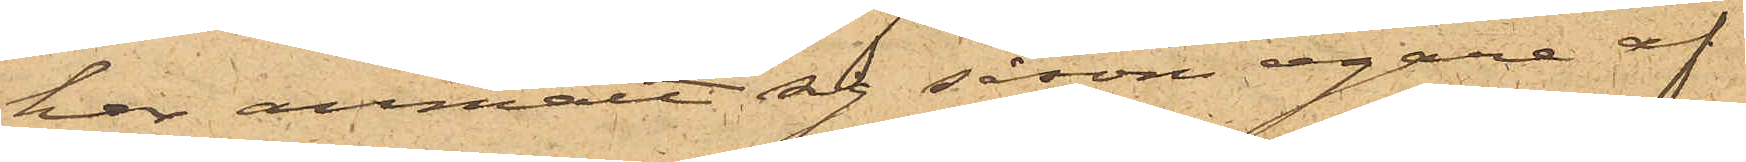har anmält sig såsom egare af
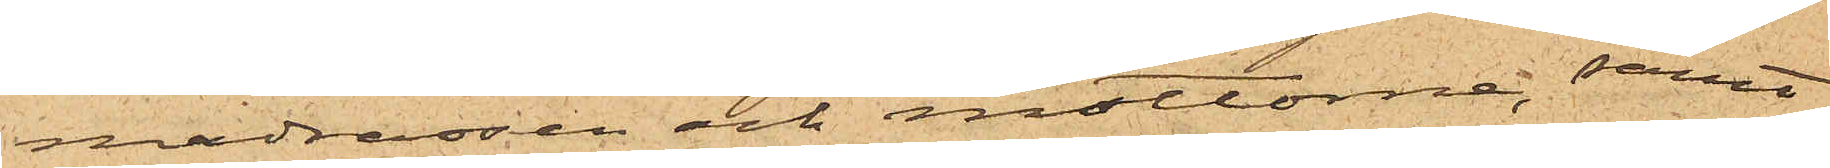madrassen och mattorna, samt
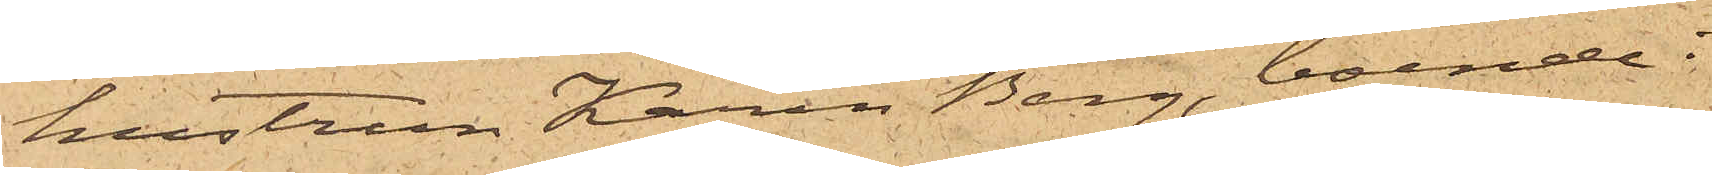hustrun Karin Berg, boende i
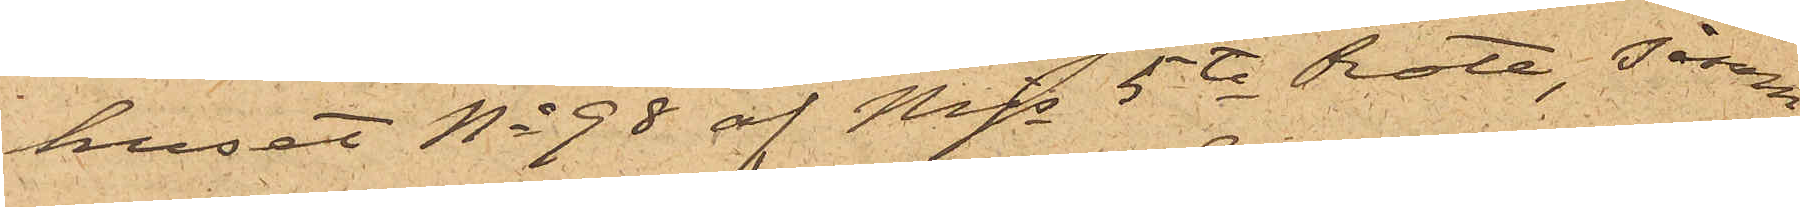huset No 98 af Mjs 5te Rote, såsom
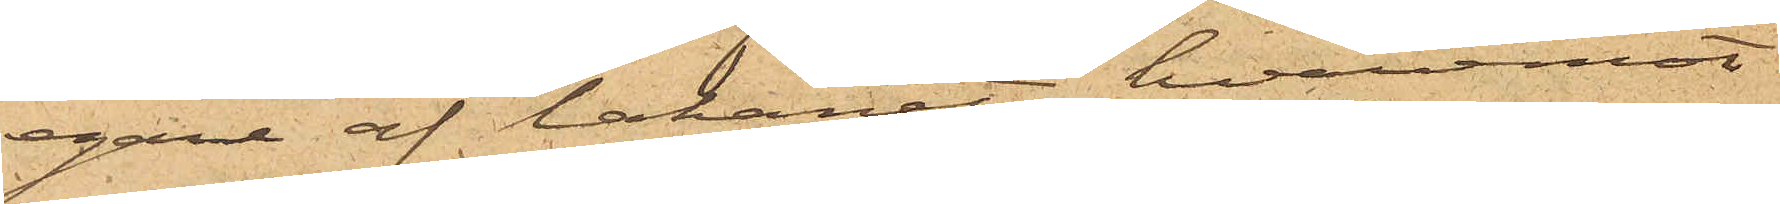egare af lakanet, hvaremot
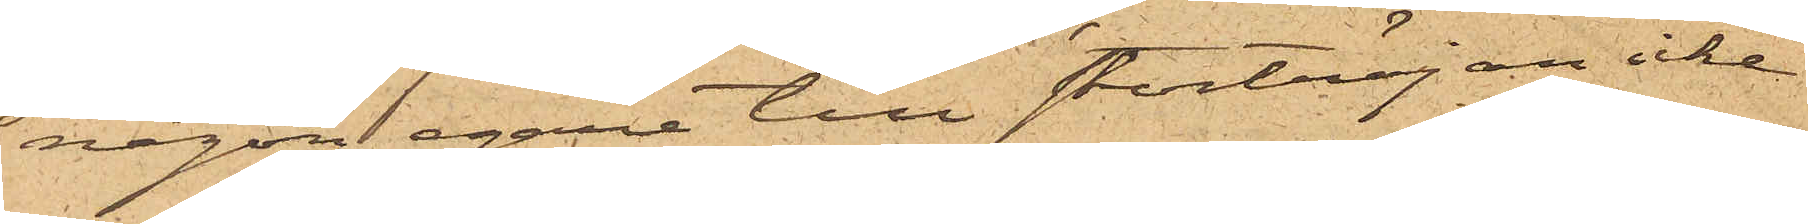någon egare till stortröjan icke
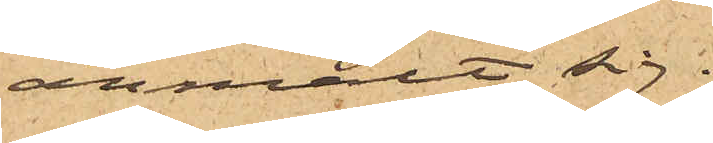anmält sig.
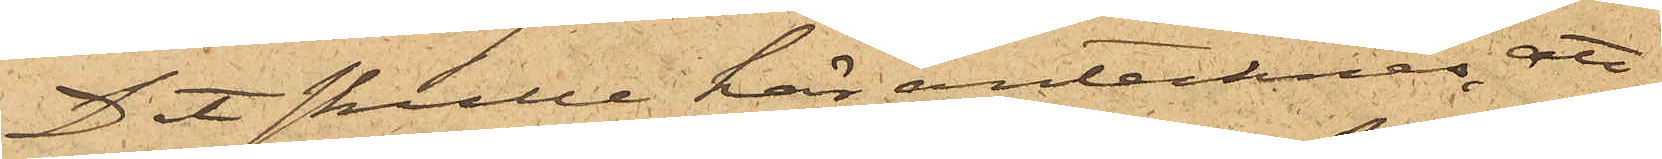Det skulle här antecknas, att
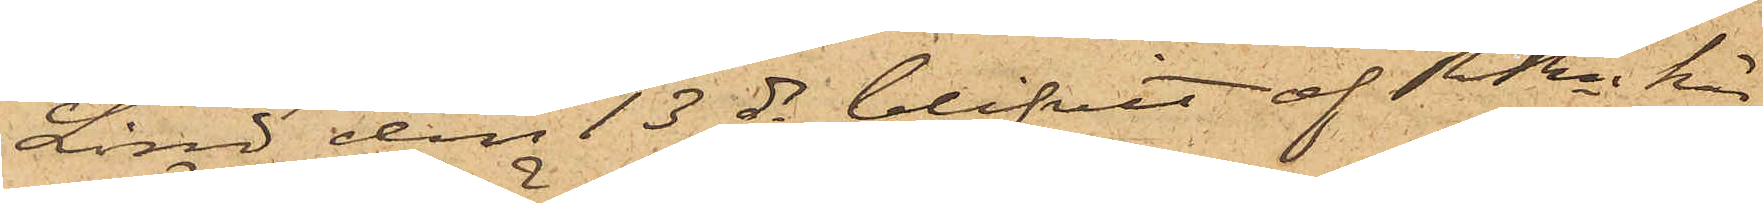Lind den 13 ds blifvit af RRn här¬
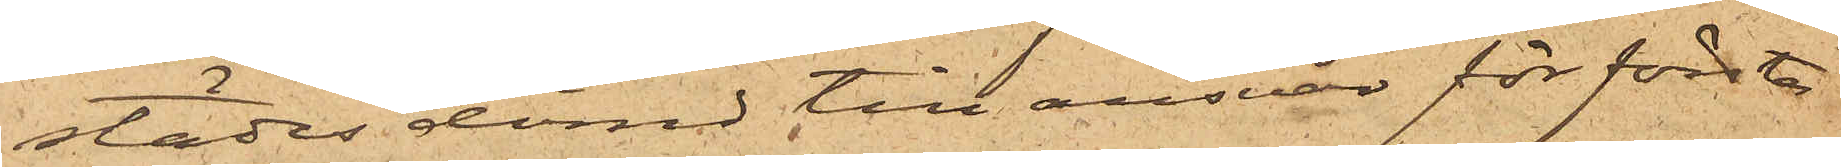städes dömd till ansvar för första
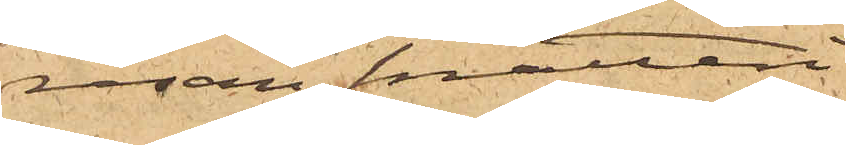resan snatteri.
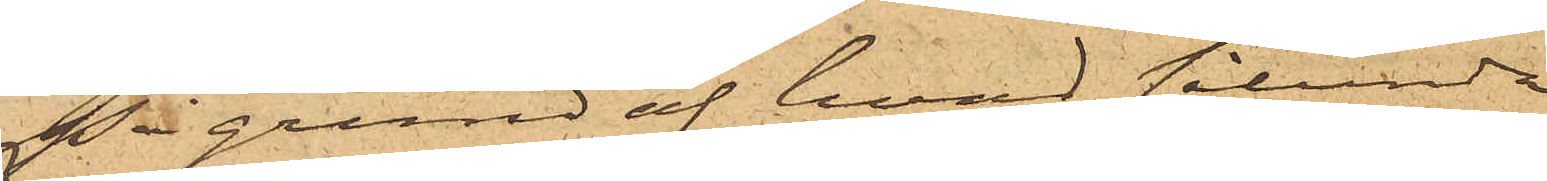På grund af hvad sålunda
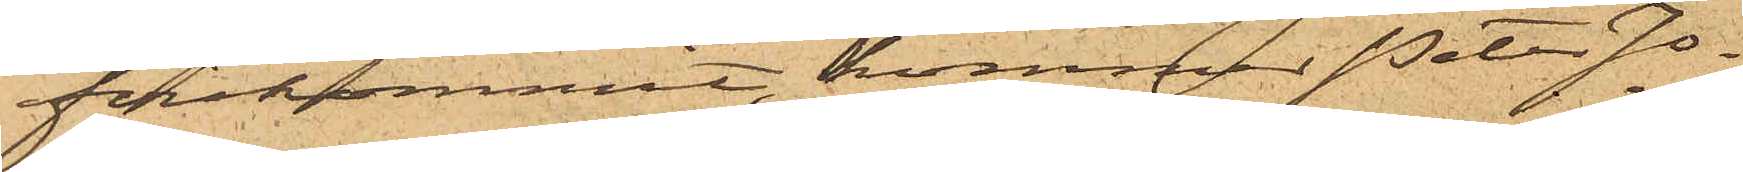förekommit, kommer Peter Jo¬
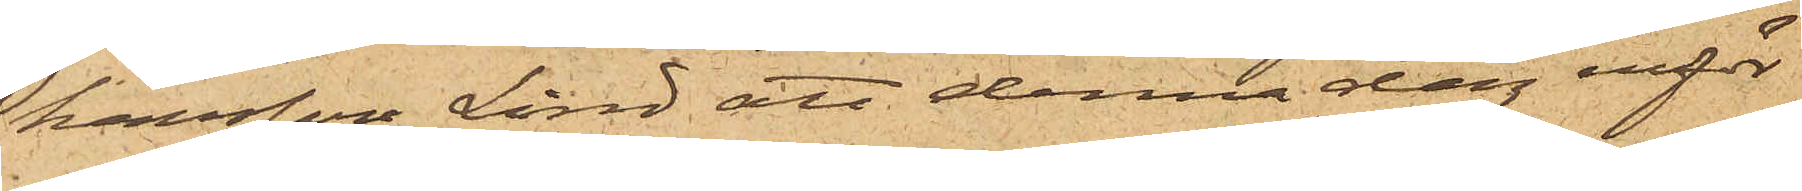hansson Lind att denna dag inför
